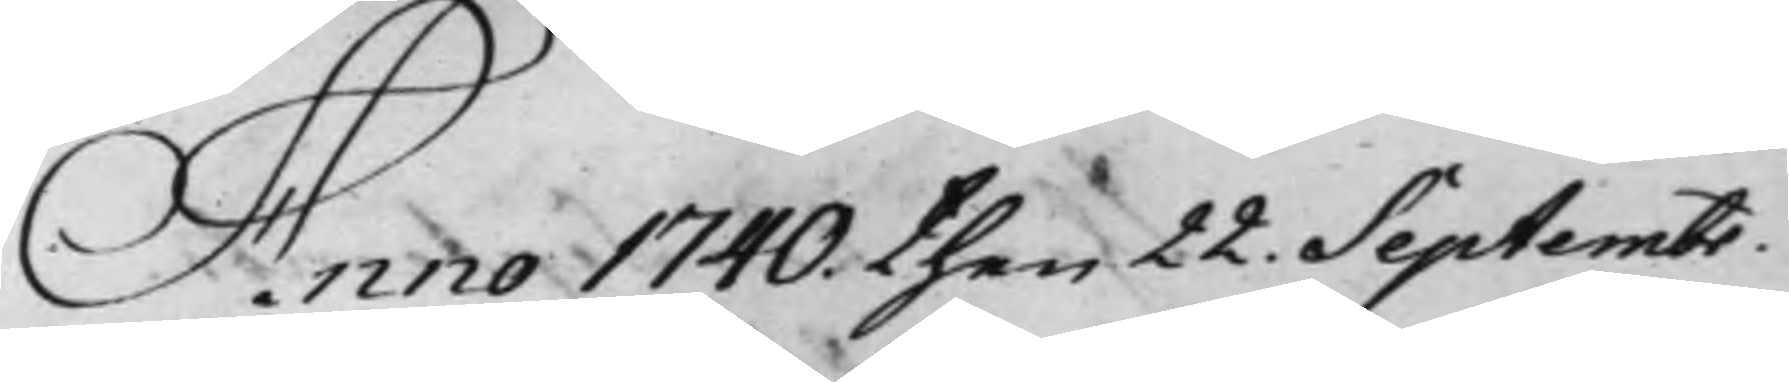Anno 1740 then 22. Septembr.
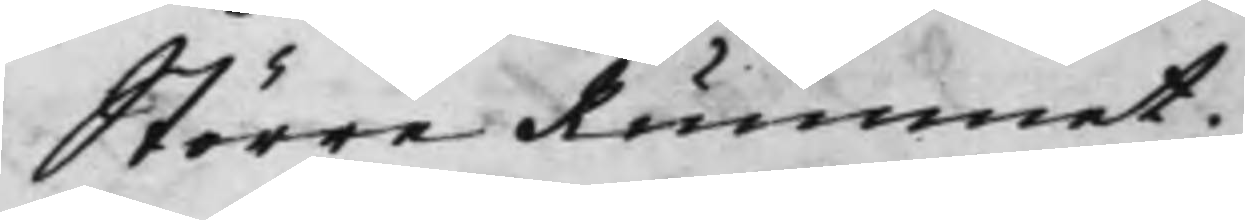Större Rummet.
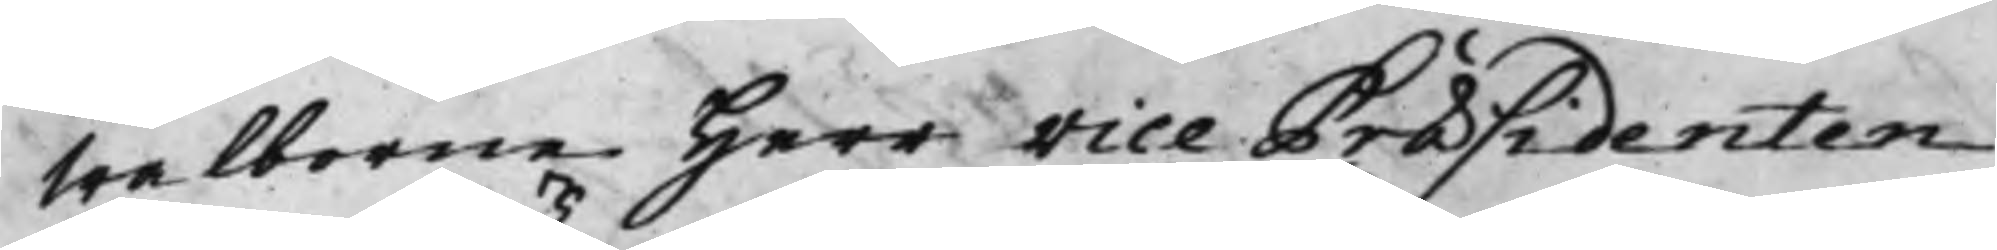Wälborne Herr Vice Præsidenten
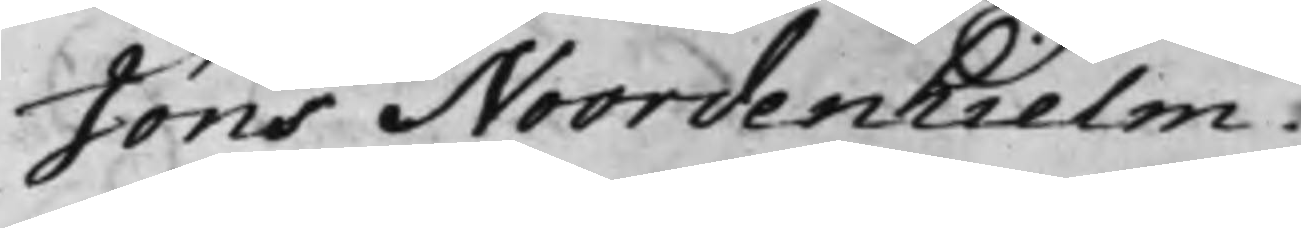Jöns Noordenhielm.
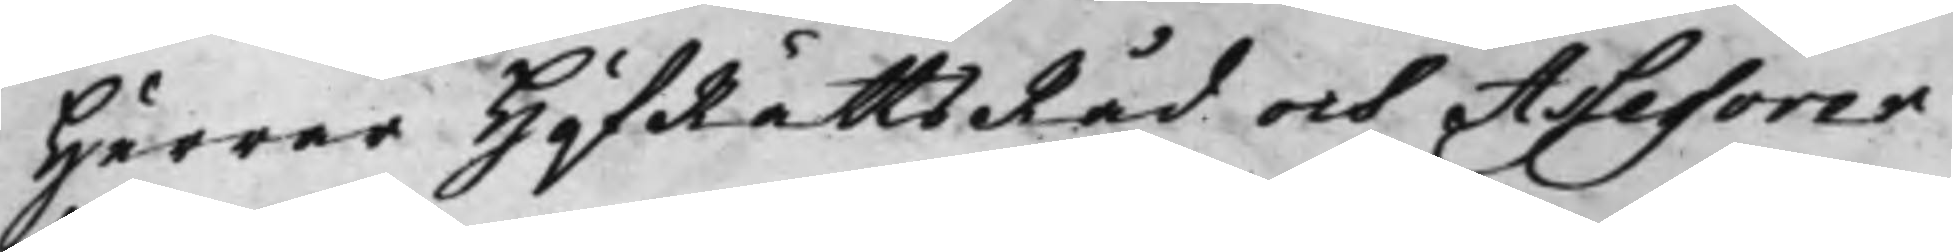Herrar HåfRättsRåd och Assessorer.
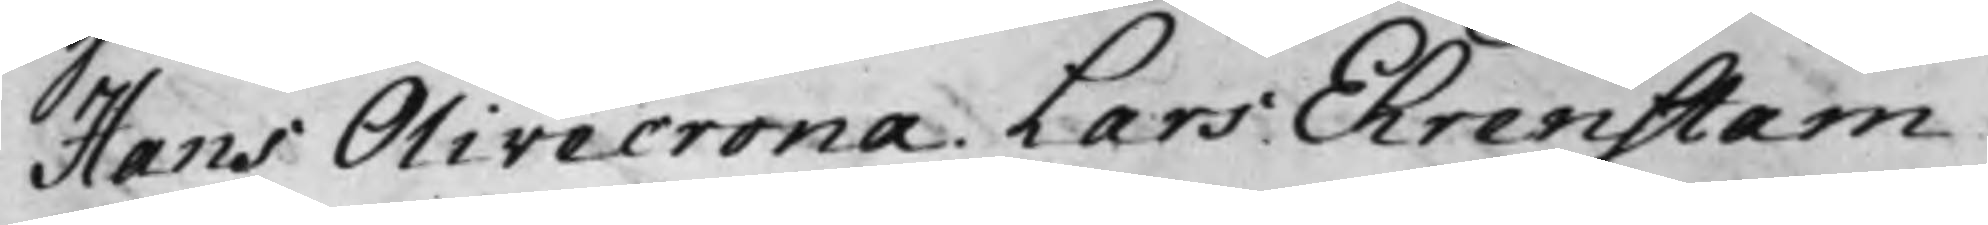Hans Olivecrona. Lars Ehrenstam,
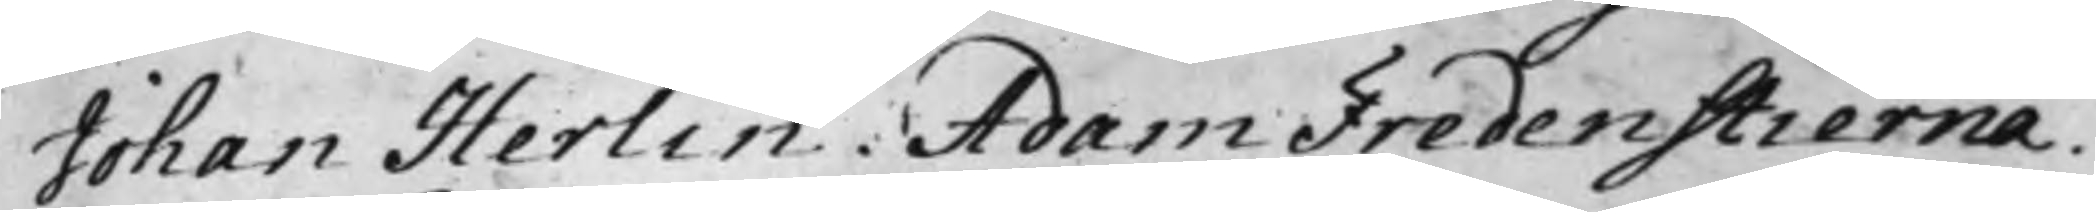Johan Herlin. Adam Fredenstierna.
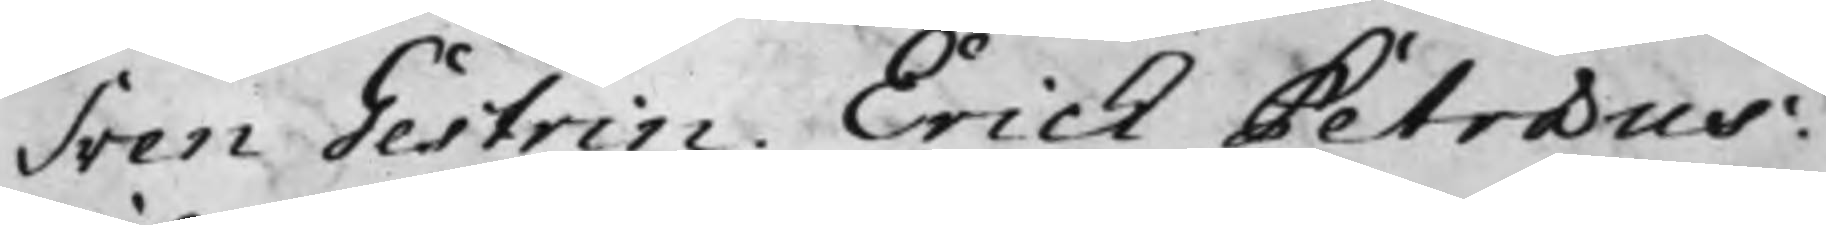Sven Gestrin. Erich Petræus.
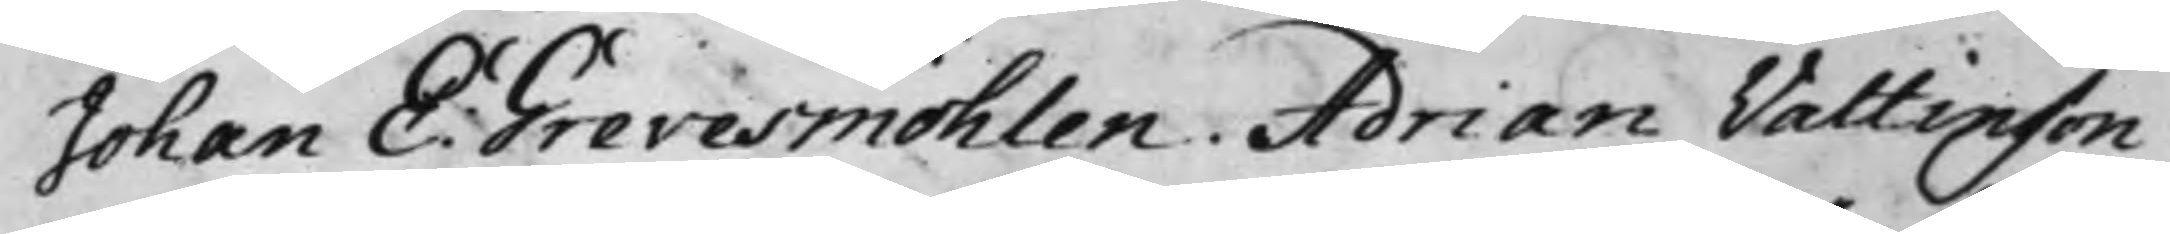Johan E: Grevesmöhlen. Adrian Valtinson.
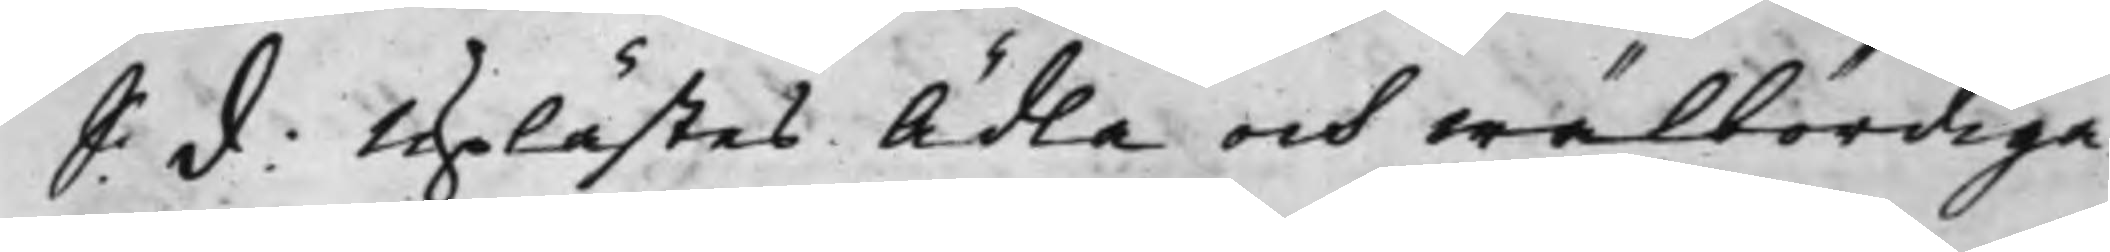S: d: Uplästes Ädla och wälbördiga
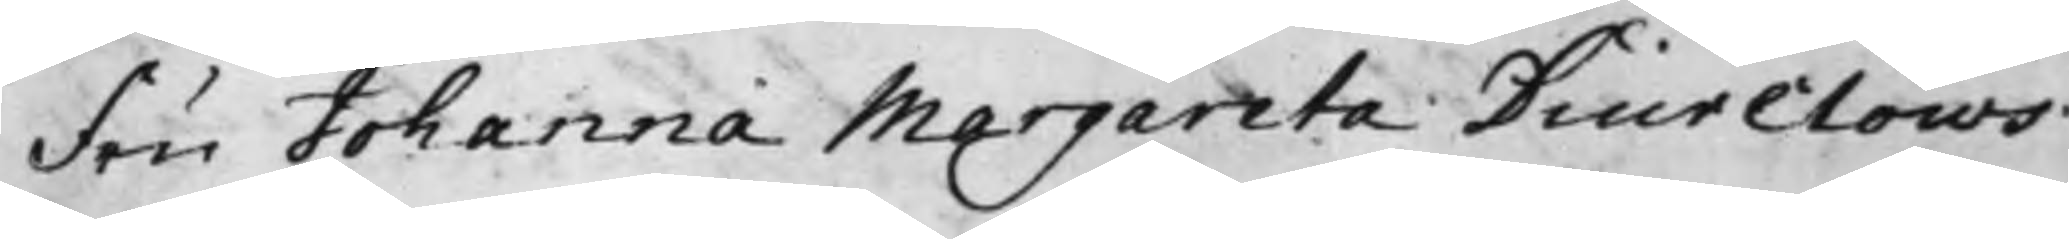Fru Johanna Margareta Diurclows
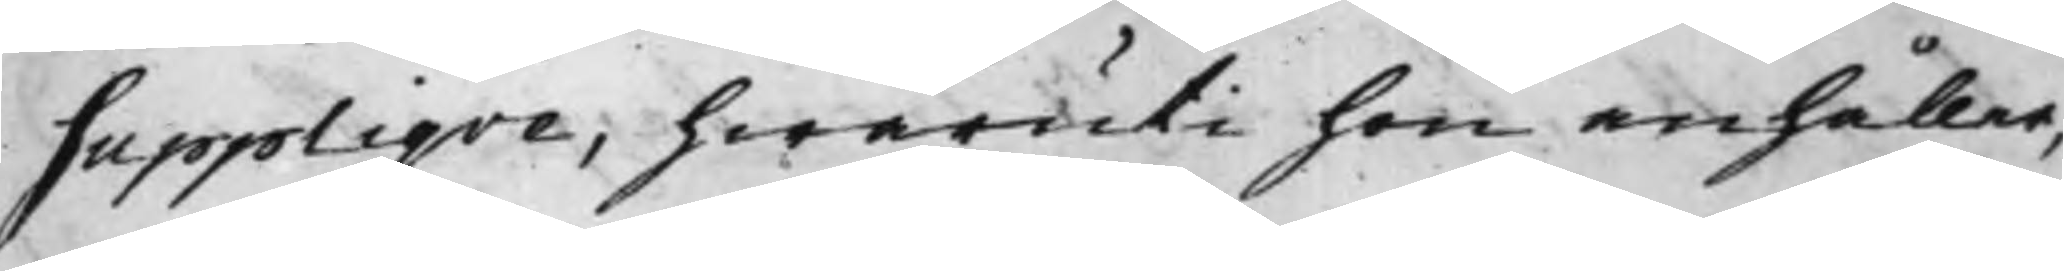Suppliqve, hwaruti hon anhåller,
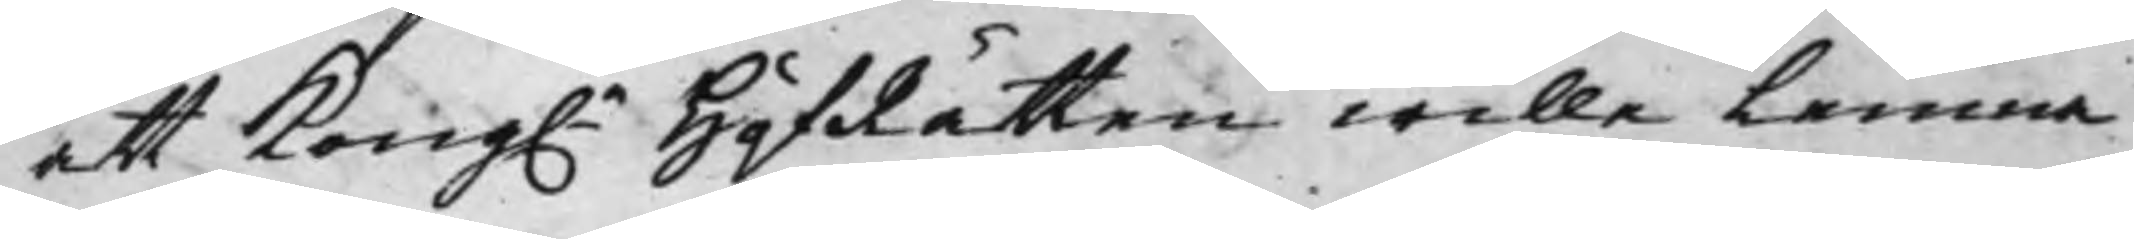att Kong. HåfRätten wille lemna
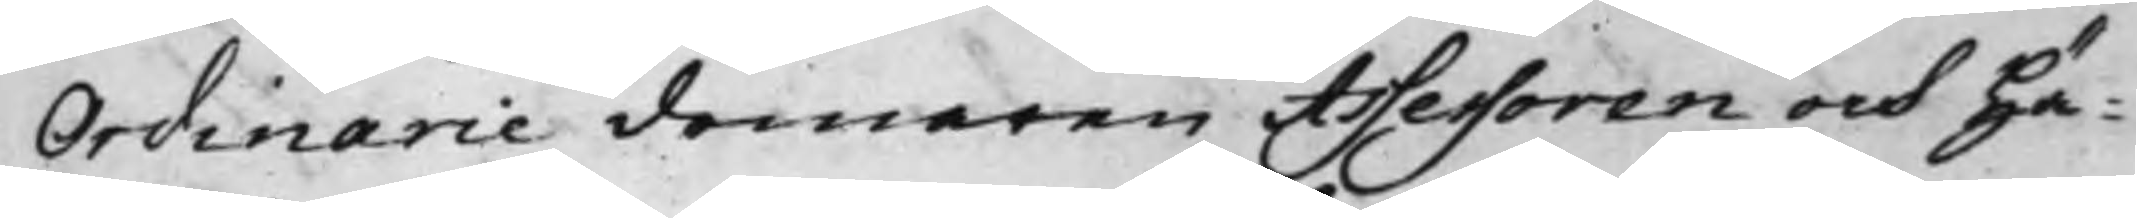Ordinarie domaren Assessoren och Hä¬
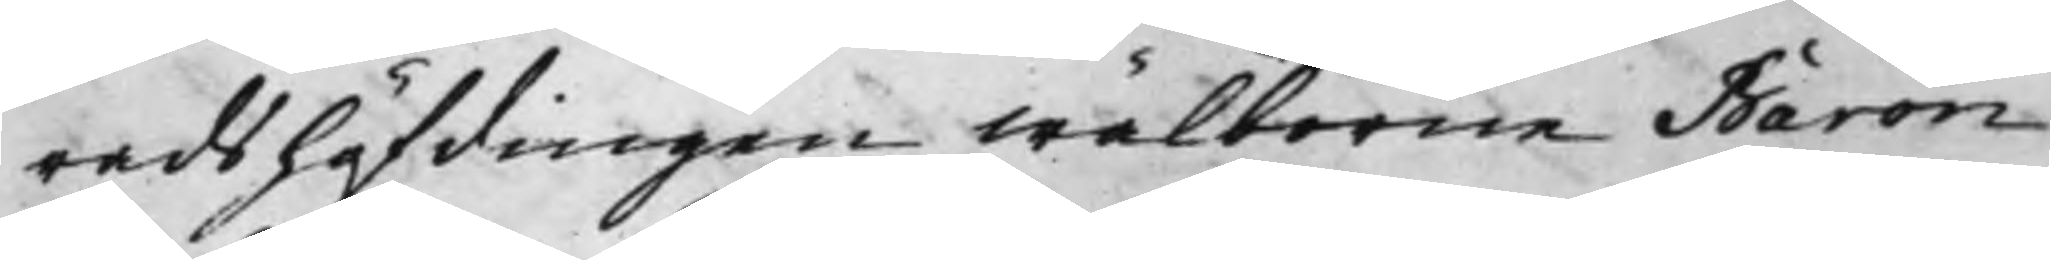radshöfdingen wälborne Baron
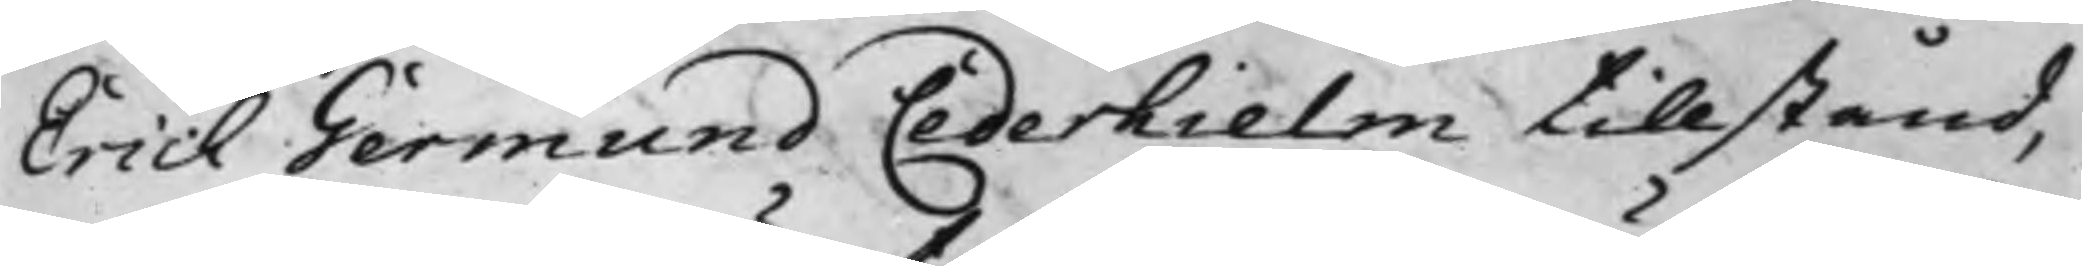Erich Germund Cederhielm tillstånd,
